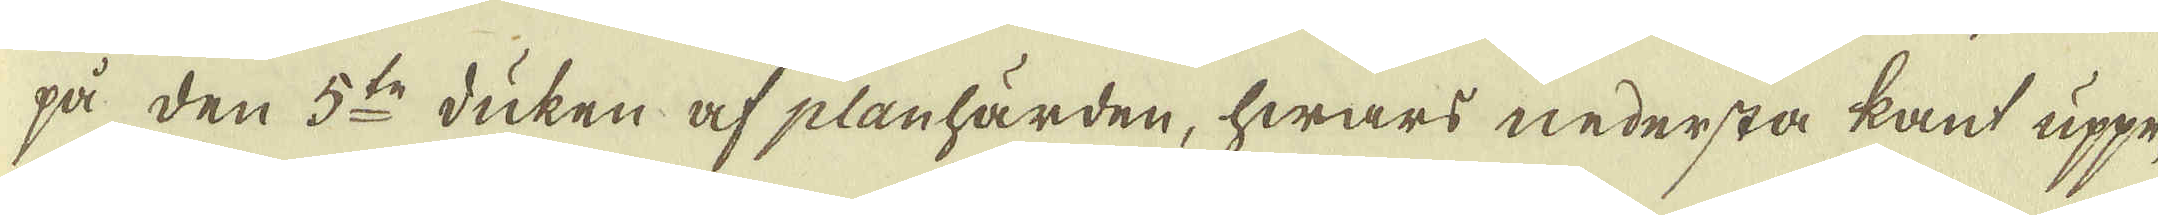på den 5:te duken af planhärden, hwars nedersta kant uppe-
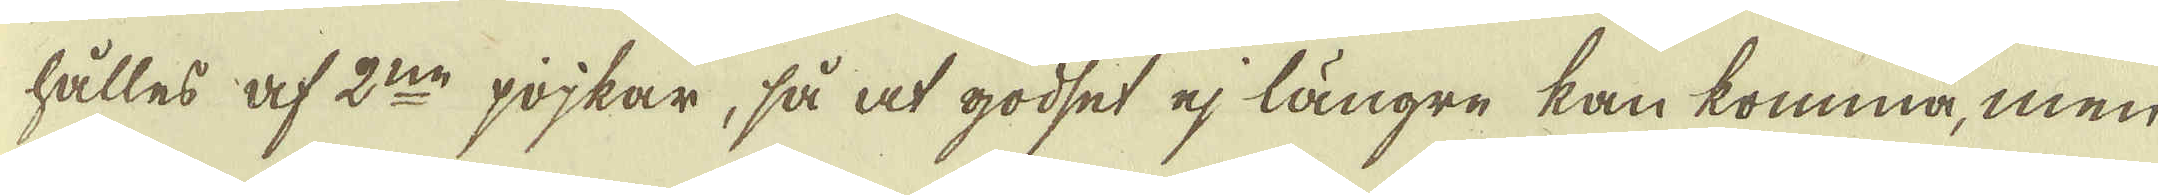hålles af 2:ne pojkar, så at godset ej längre kan komma, men
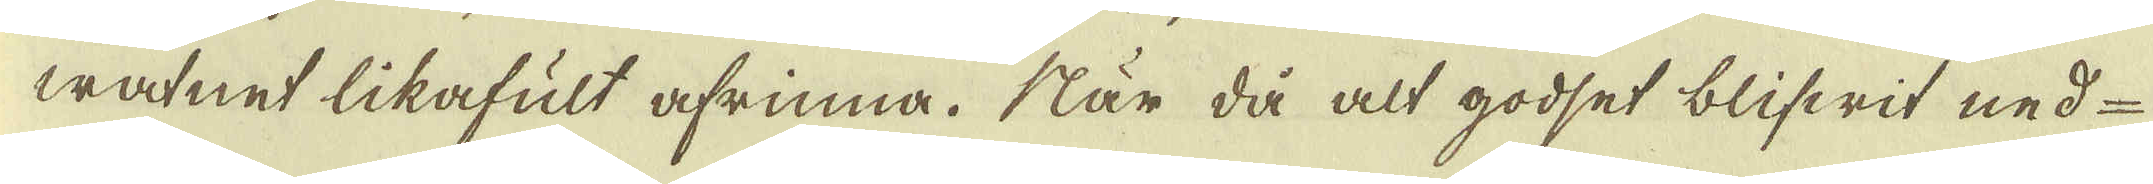watnet likafult afrinna. När då alt godset blifwit ned-
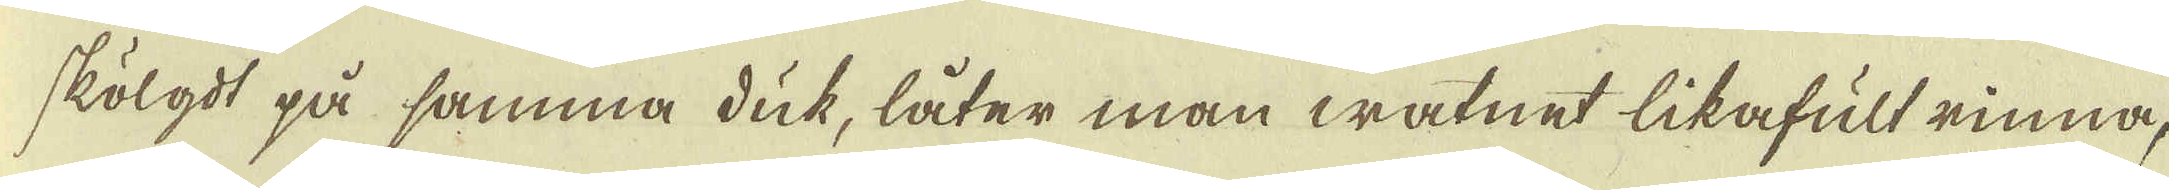skölgdt på samma duk, låter man watnet likafult rinna,
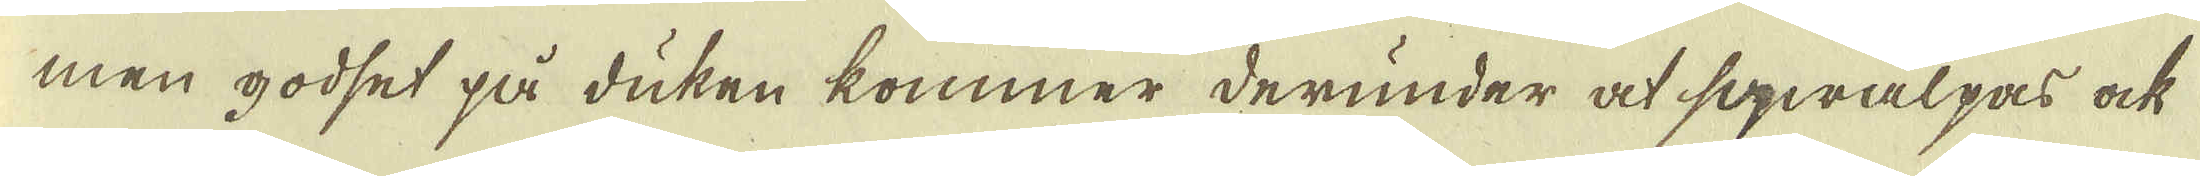men godset på duken kommer derunder at swalpas ock
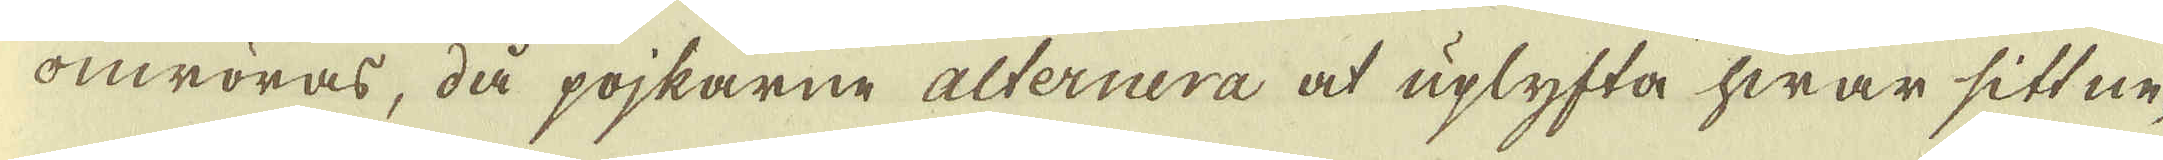omröras, då pojkarne alternera at uplyfta hwar sitt ne-
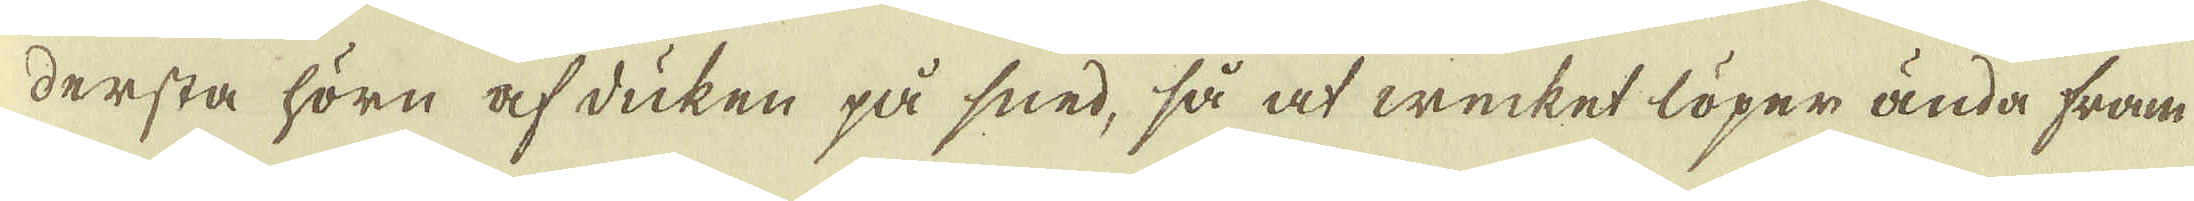dersta hörn af duken på sned, så at wecket löper ända fram-
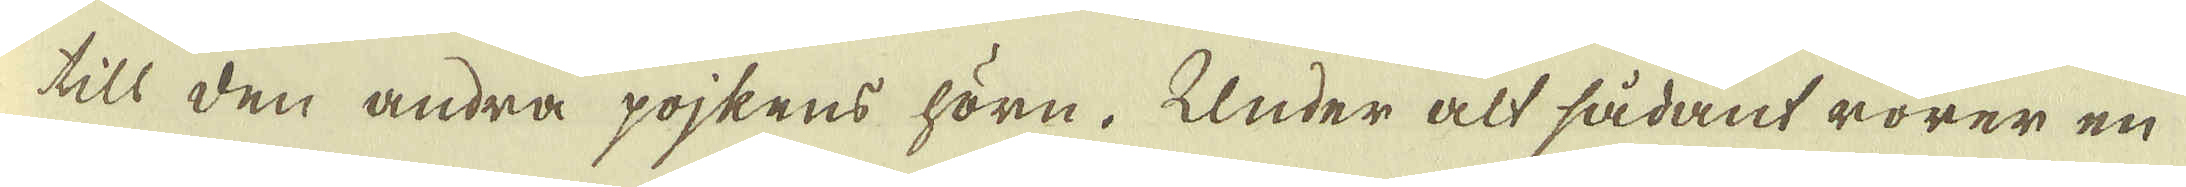till den andra pojkens hörn. Under alt sådant rörer en
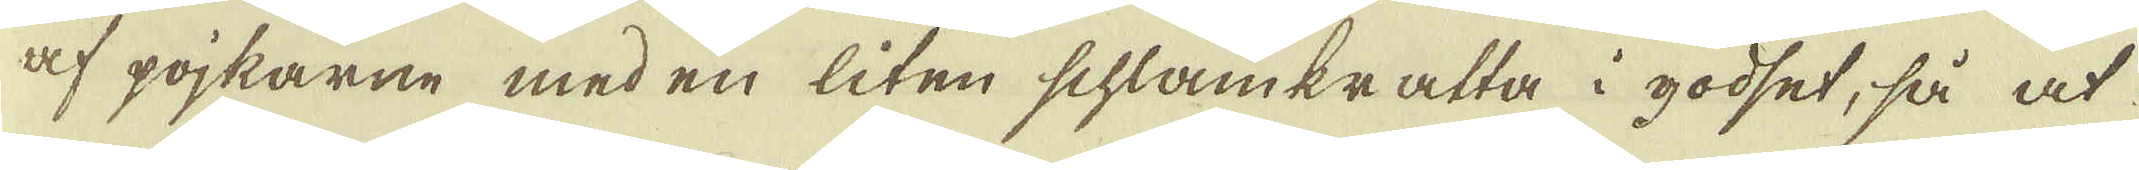af pojkarne med en liten schlamkratta i godset, så at
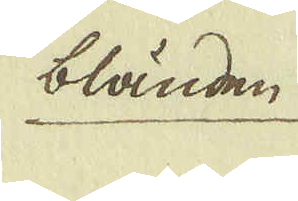bländen
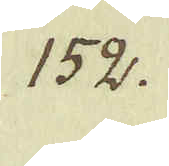152.
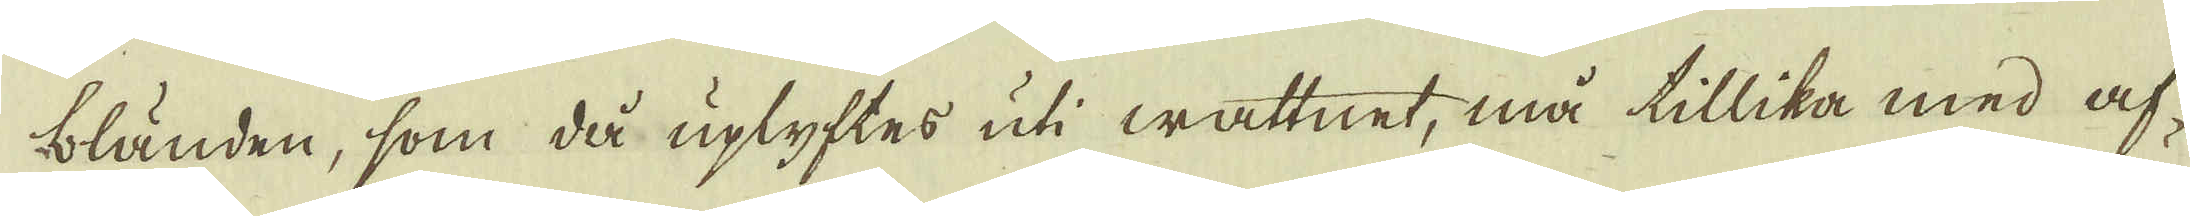bländen, som då uplyftes uti wattnet, må tillika med af-
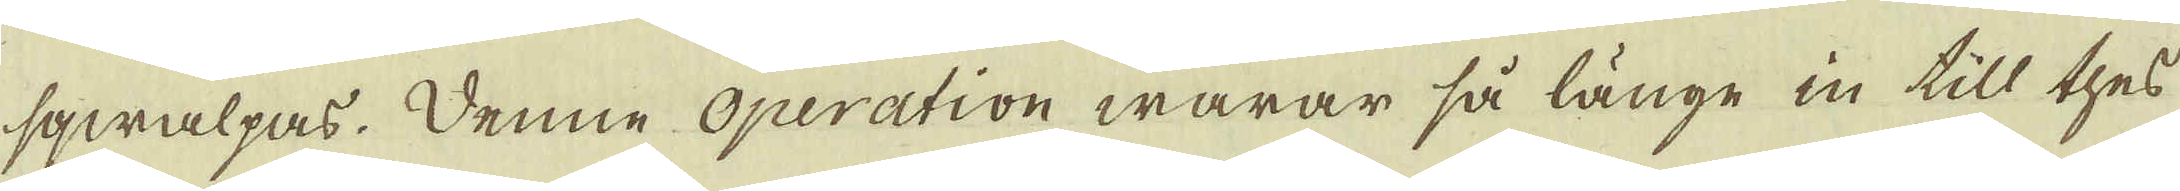swalpas. Denne Operation warar så länge in till thes
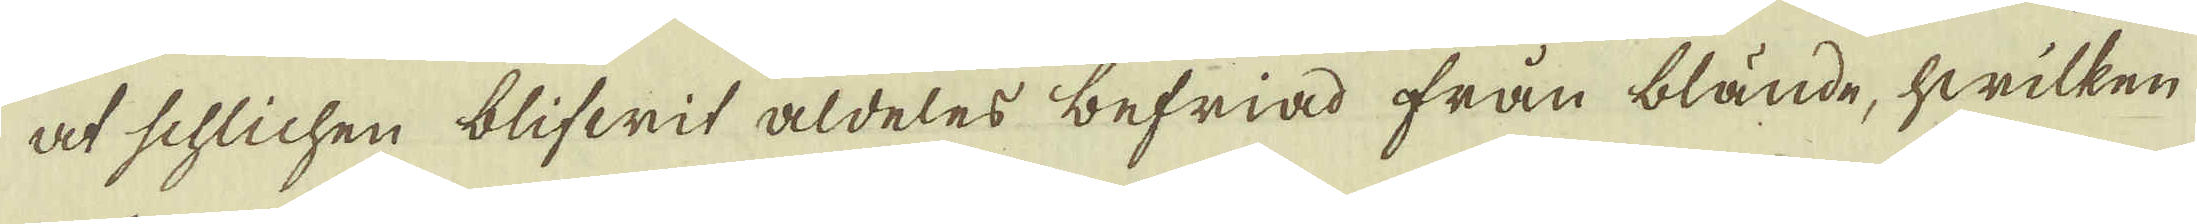at schlichen blifwit aldeles befriad från blände, hwilken
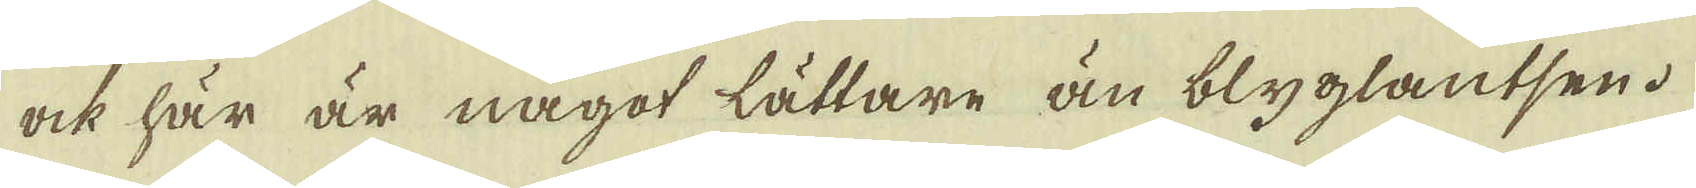ock här är något lättare än blyglantsen.
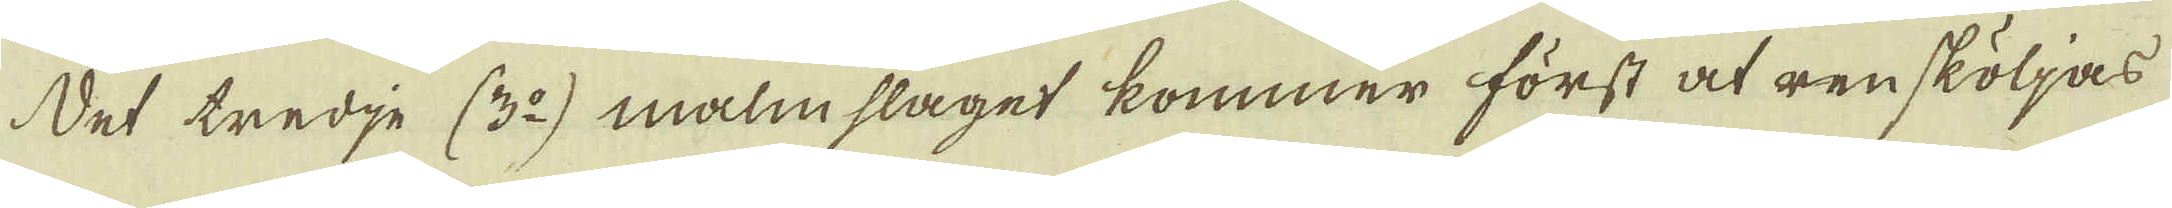Det tredje (3:o) malmslaget kommer först at rensköljas
